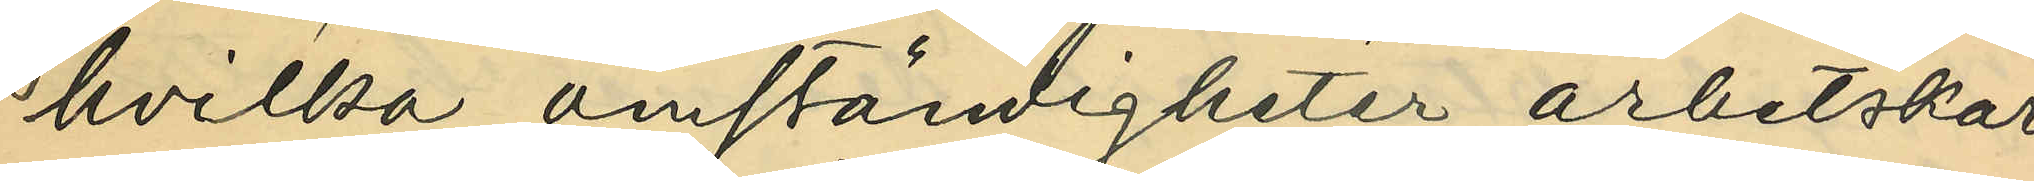hvilka omständigheter arbetskar¬
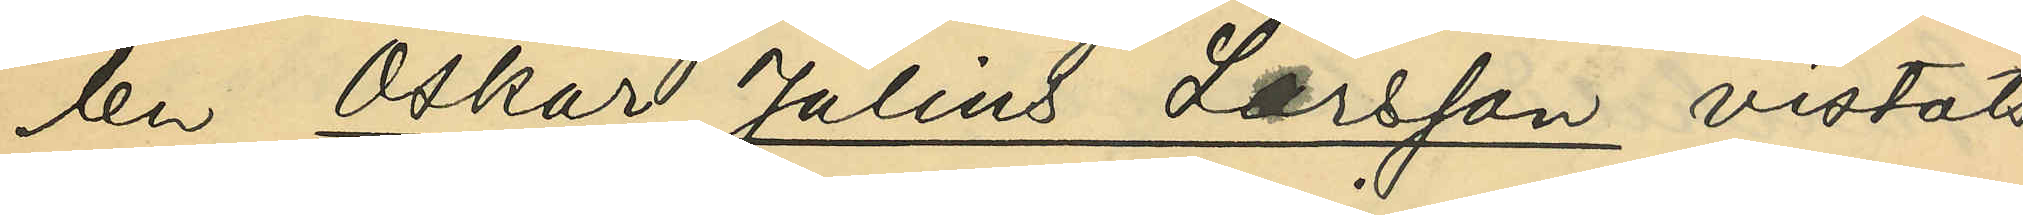len Oskar Julius Larsson vistats
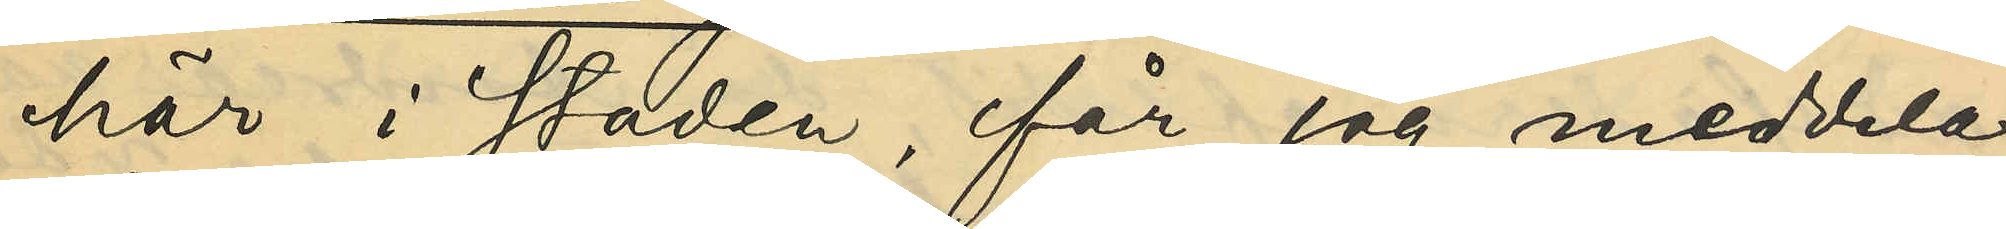här i staden, får jag meddela,
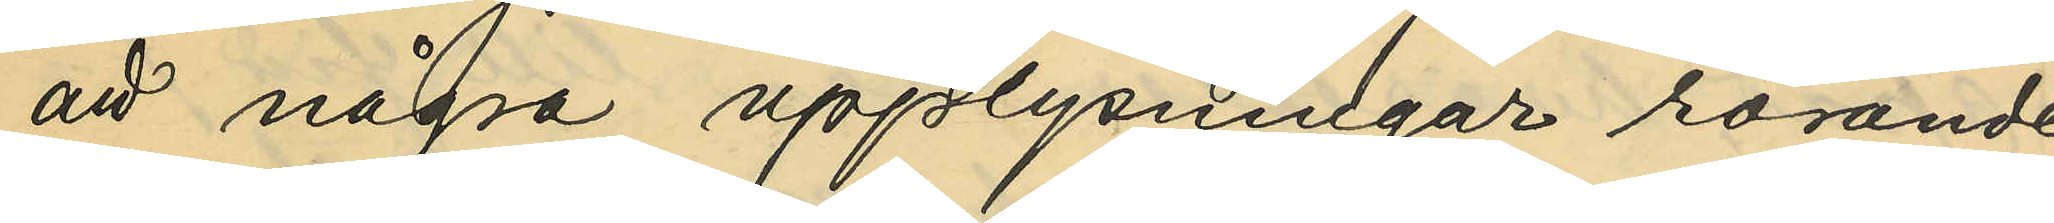att några upplysningar rörande
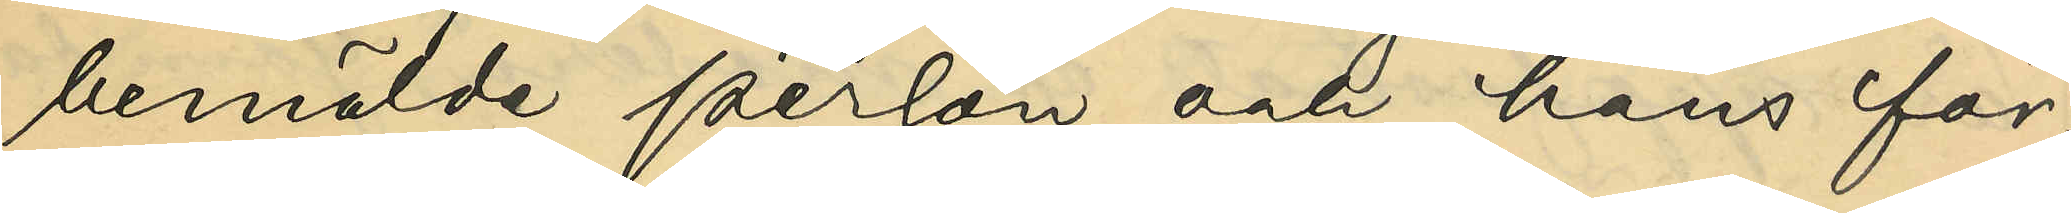bemälde person och hans för¬
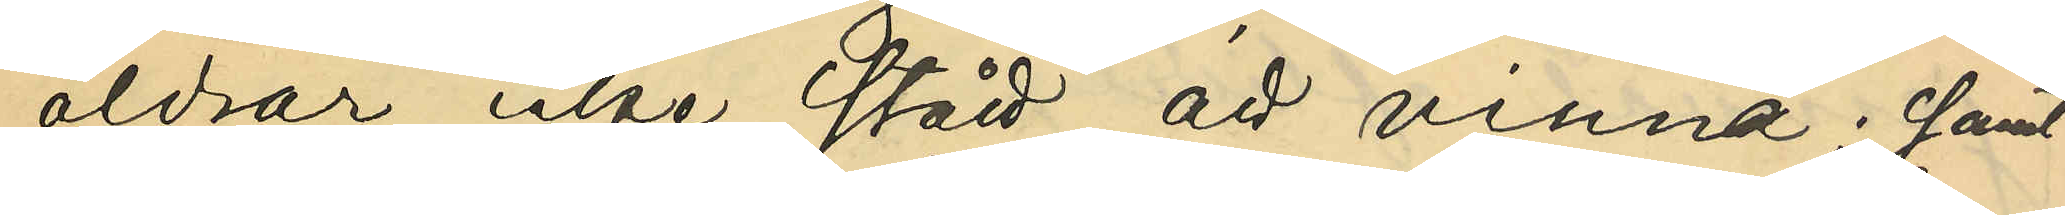äldrar icke stått att vinna; samt
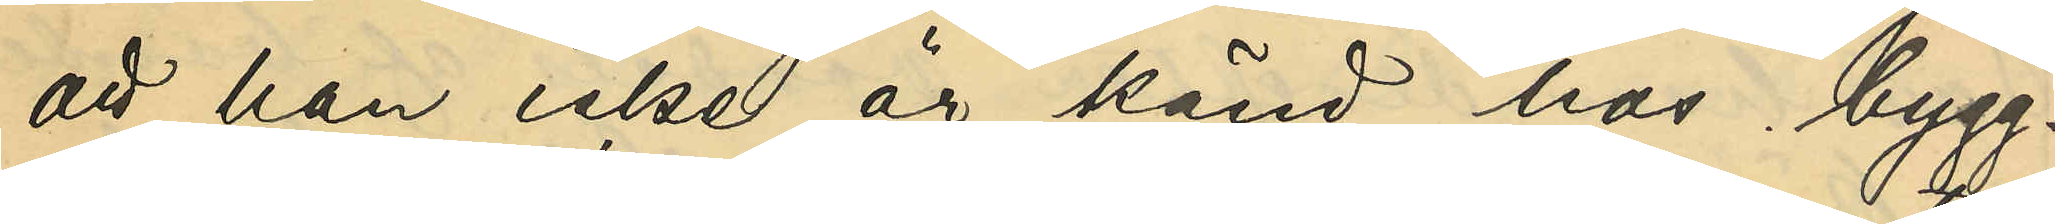att han icke är känd hos bygg¬
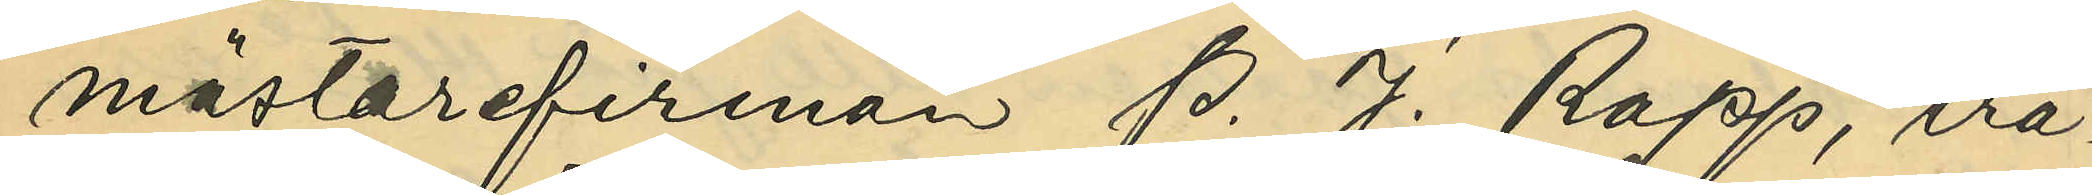mästarefirman P. J. Rapp, trä¬
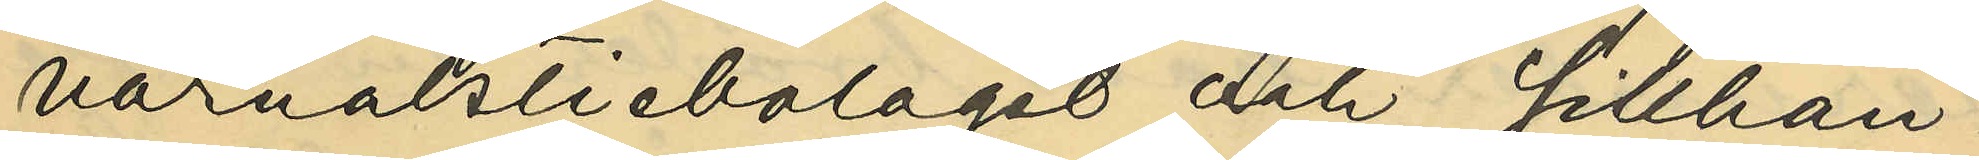varuaktiebolaget och Sillhan¬
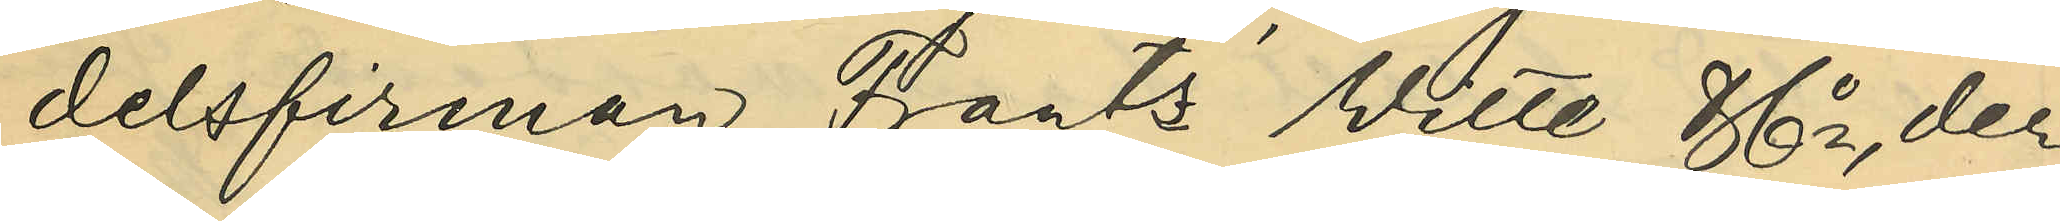delsfirman Frantz' Witte & Co, der
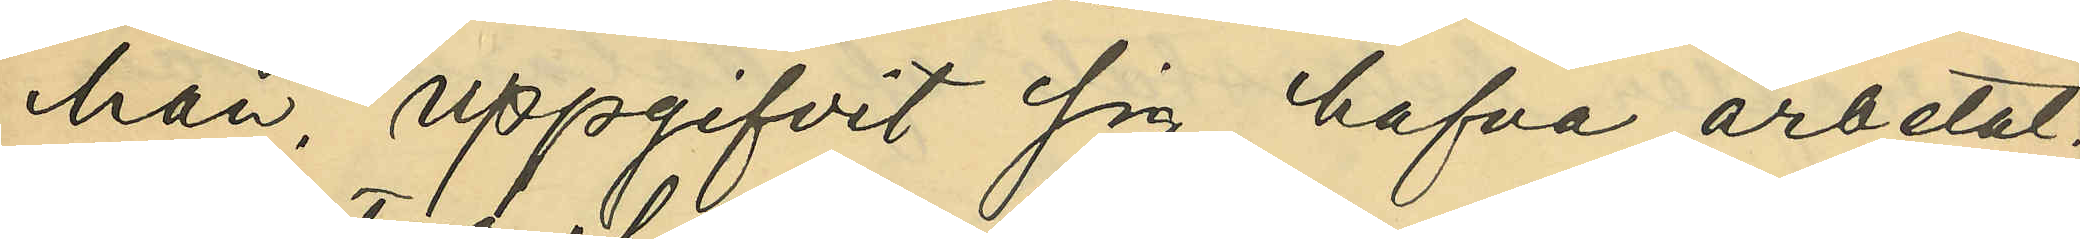han uppgifvit sig hafva arbetat.
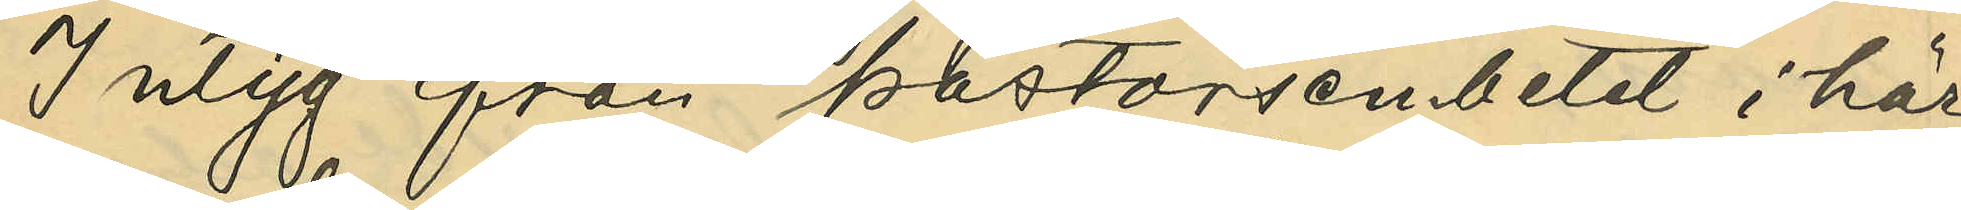Intyg från pastorsembetet i här¬
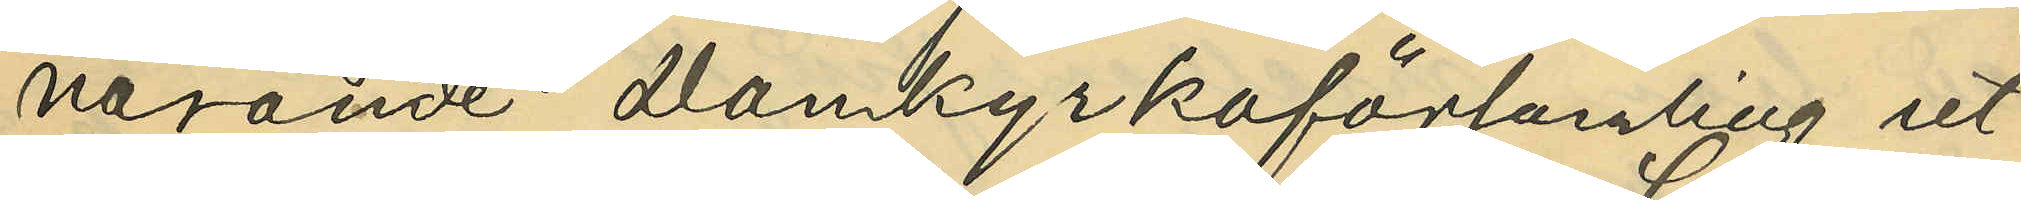varande Domkyrkoförsamling ut¬
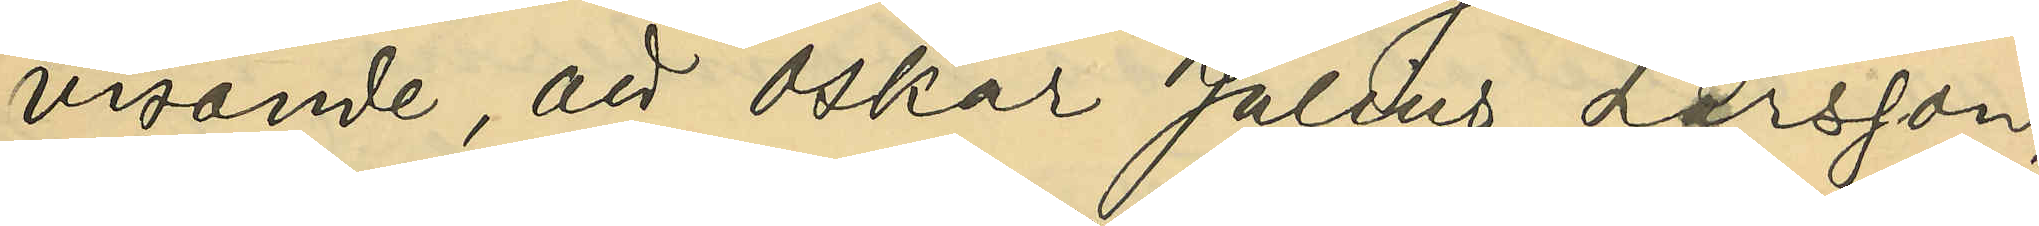visande, att Oskar Julius Larsson,
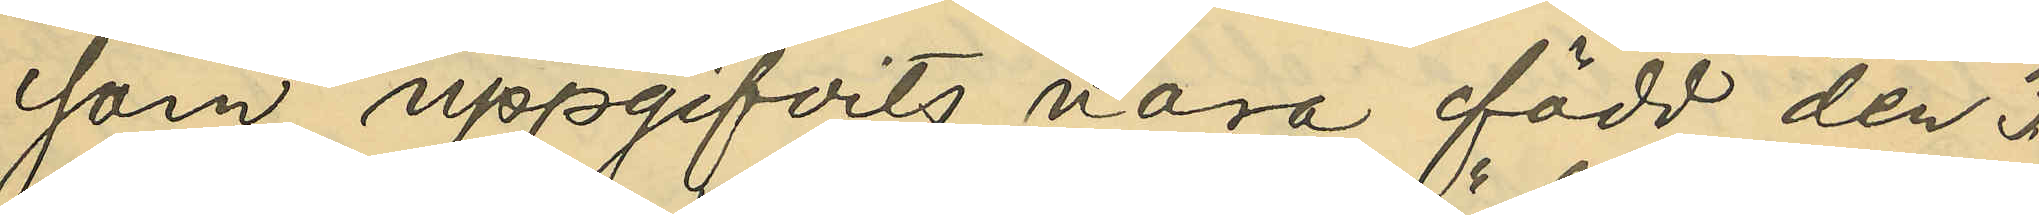som uppgifvits vara född den 3
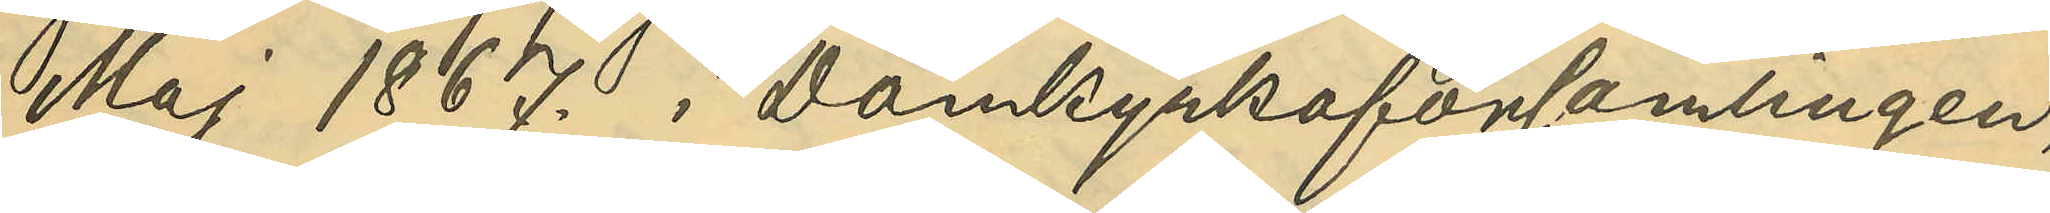Maj 1867. i Domkyrkoförsamlingen,
